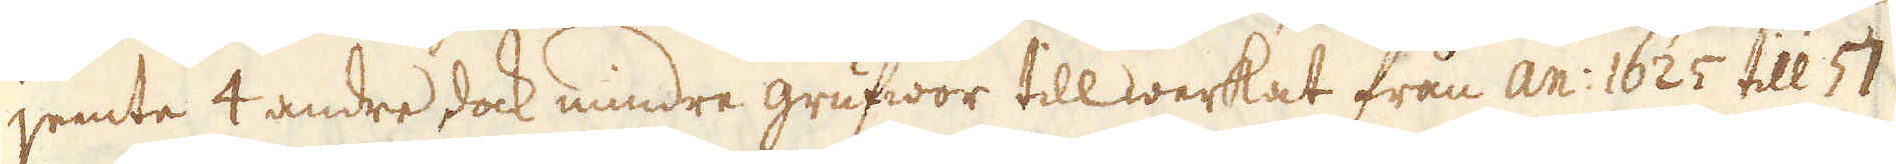jemte 4 andre dock mindre grufwor tillwerkat från an: 1625 till 57
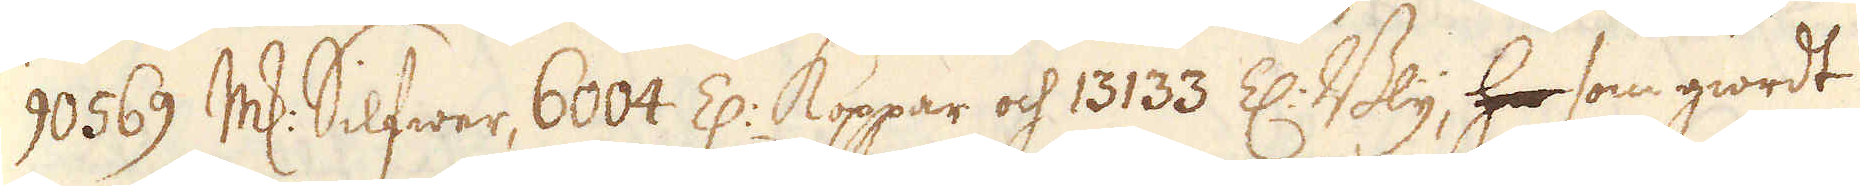90569 marker Silfwer, 6004 Z: Koppar och 13133 Z: Bly, hersom giordt
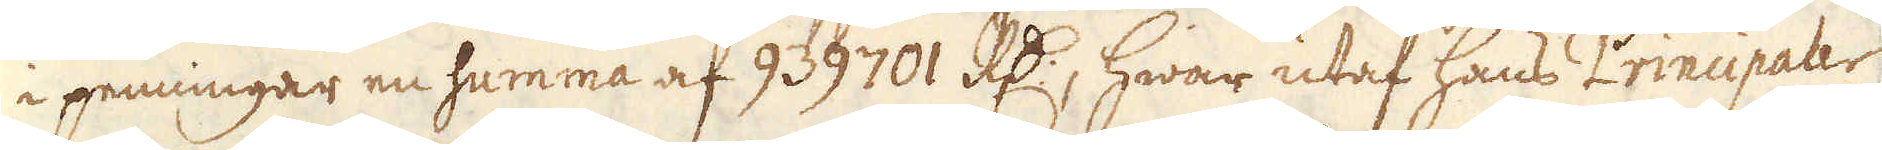i penningar en summa af 939701 R:dr, hwar utaf hans Principaler
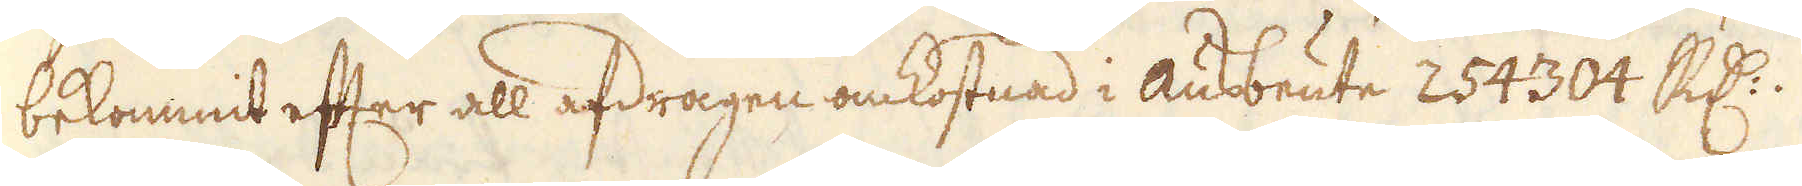bekommit efter all afdragen omkostnad i ausbeute 254304 R:dr.
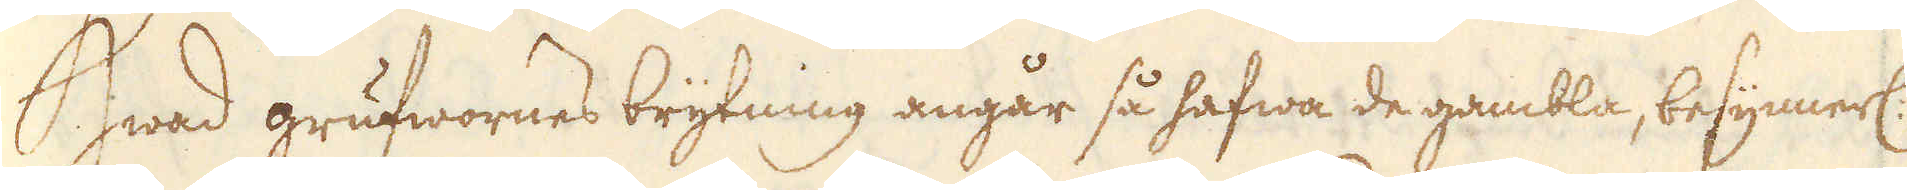Hwad grufwornes brytning angår så hafwa de gambla, besynerl:
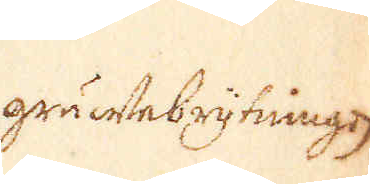gruwfebrytingen
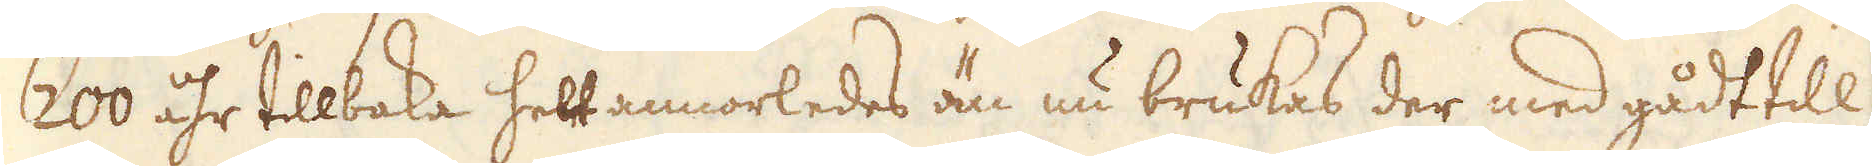200 åhr tillbaka helt annorledes än nu brukas der med gådt till
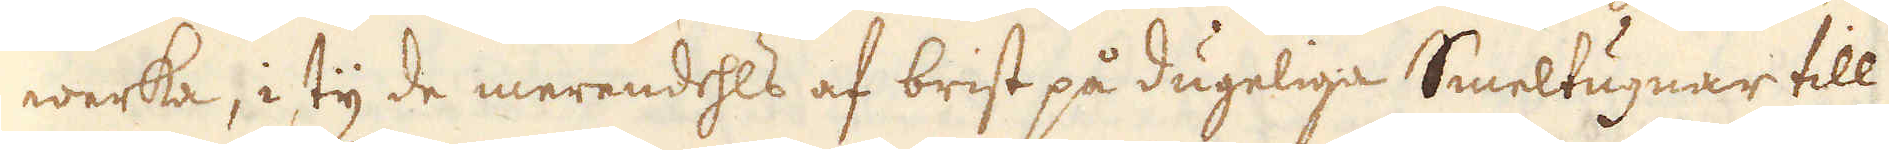werka, i ty de merendehls af brist på dugeliga Smeltugnar till
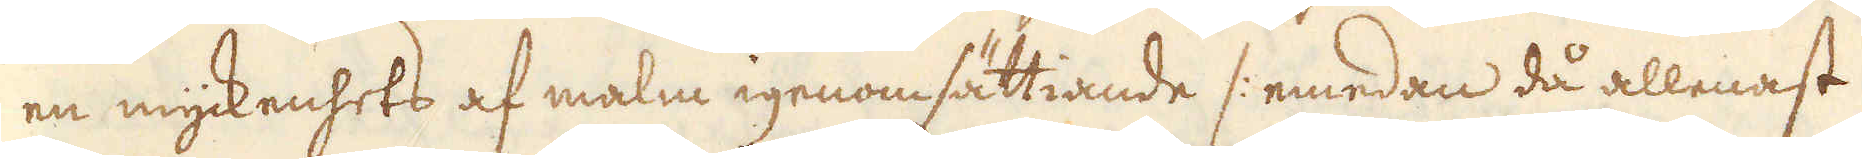en myckenhets af malm igenomsättiande /: emedan då allenast
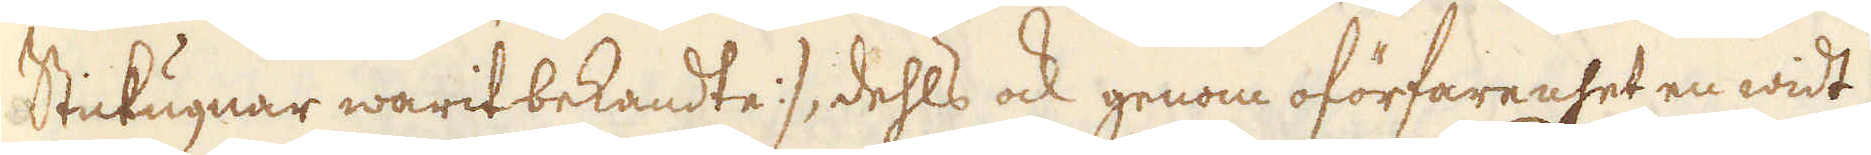Stickugnar warit bekandte :/, dehls ock genom oförfarenhet en widt
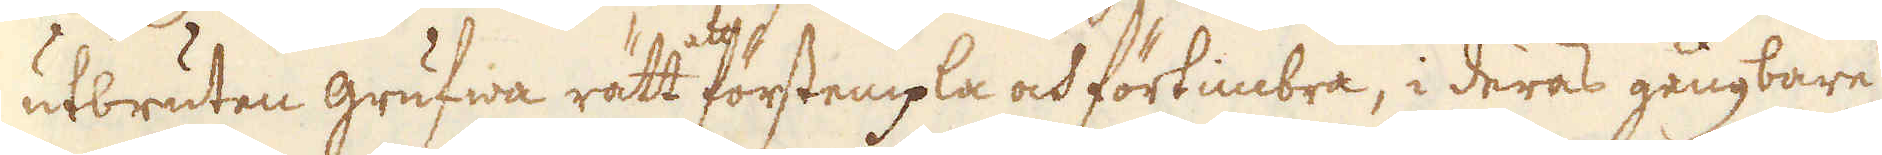utbruten grufwa rätt förstempla och förtimbra, i deras gångbare
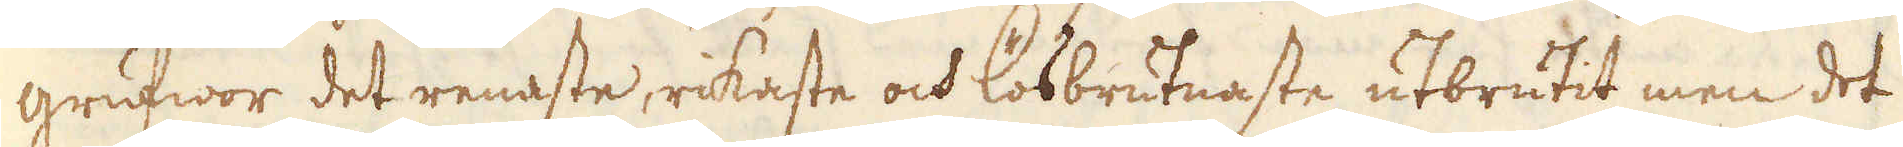grufwor det renaste, rikaste och lösbrutnaste utbrutit, men det
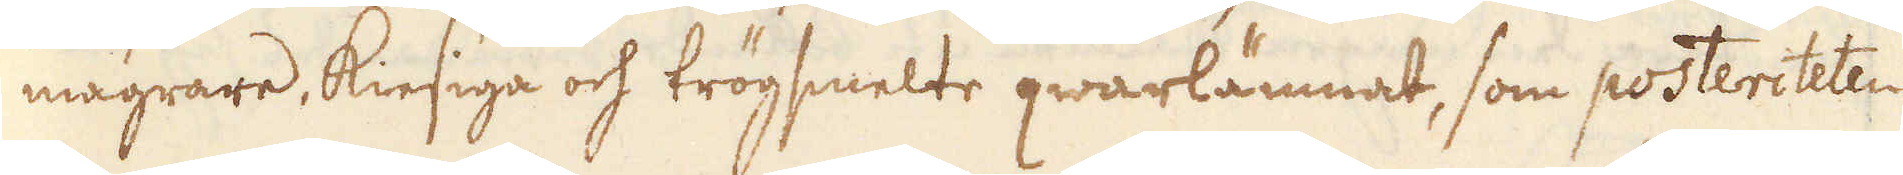magrare kiesiga och trögsmelte qwarlämnat, som posteriteten
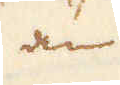än
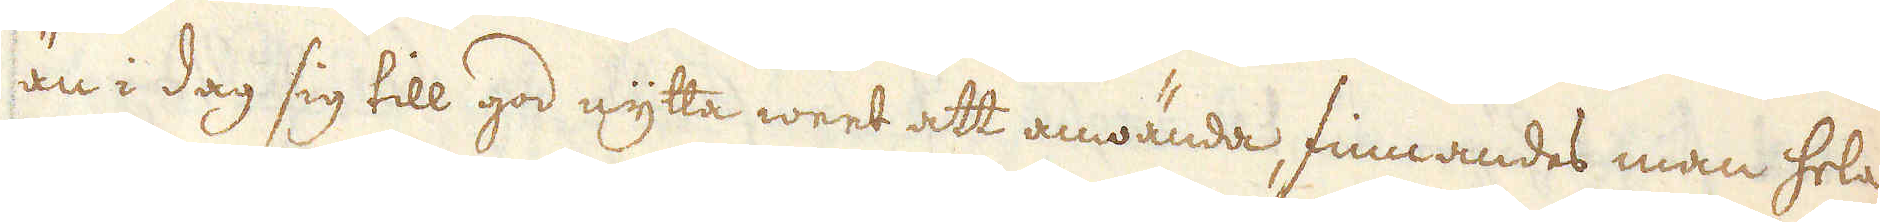än i dag sig till god nytta weet att anwända, finnandes man hela
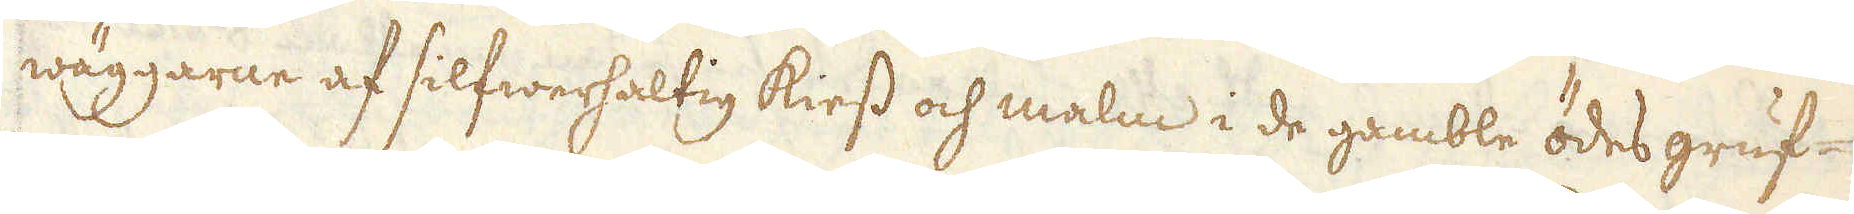wäggarne af silfwerhaltig kiess och malm i de gamble ödes gruf-
